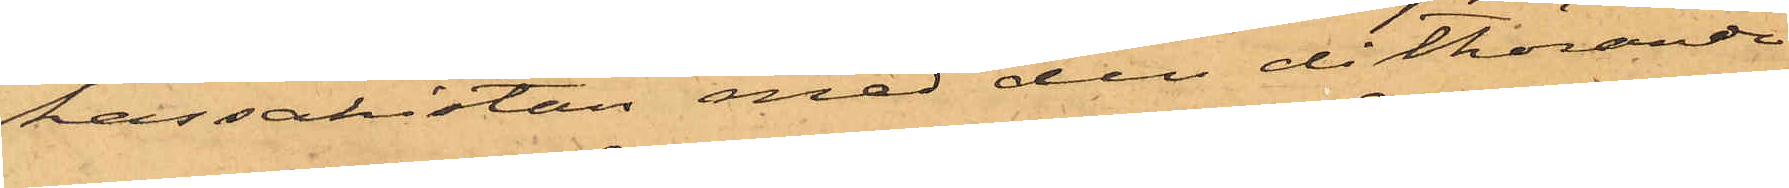kassakistan med den dithörande
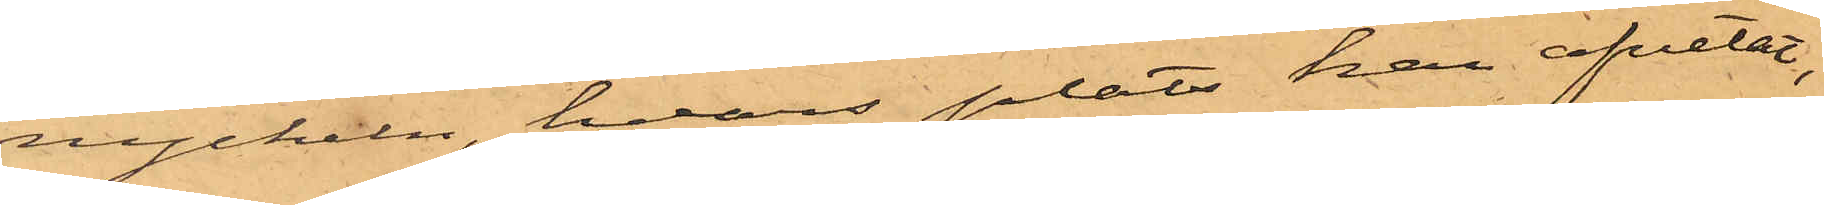nyckeln, hvars plats han afvetat,
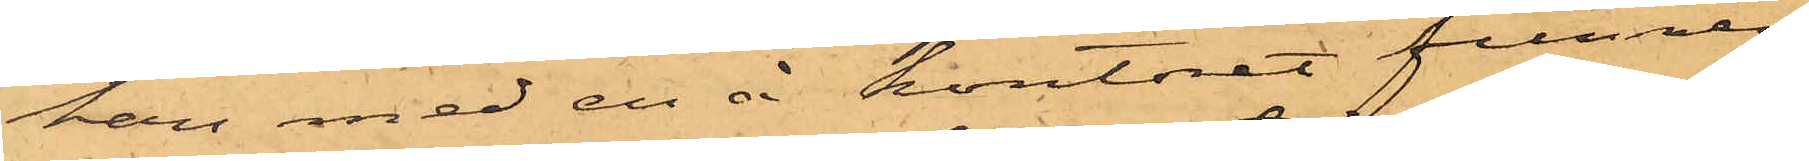han med en å kontoret funnen
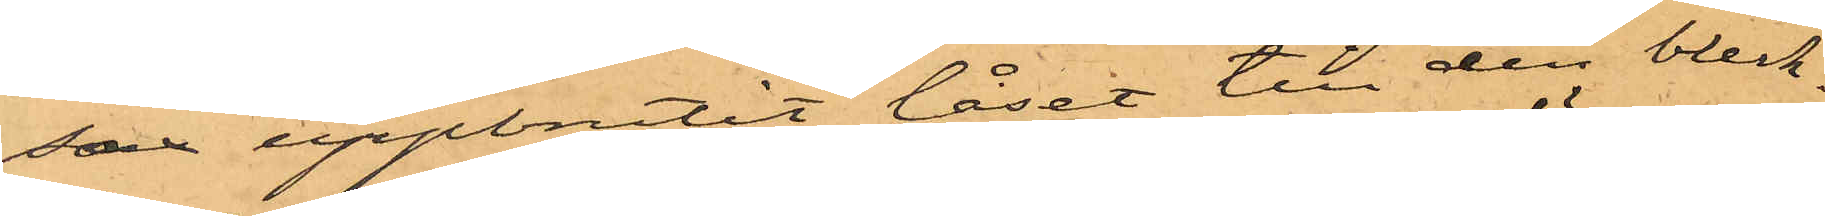sax uppbrutit låset till den bleck¬
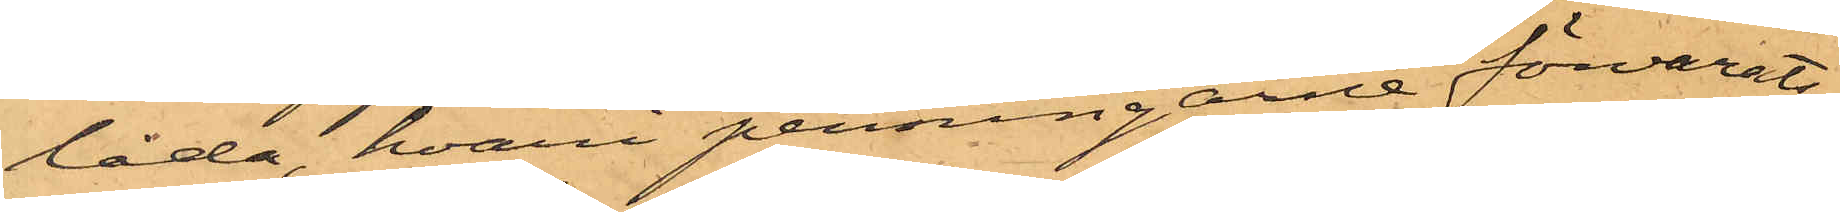låda, hvari penningarne förvarats;
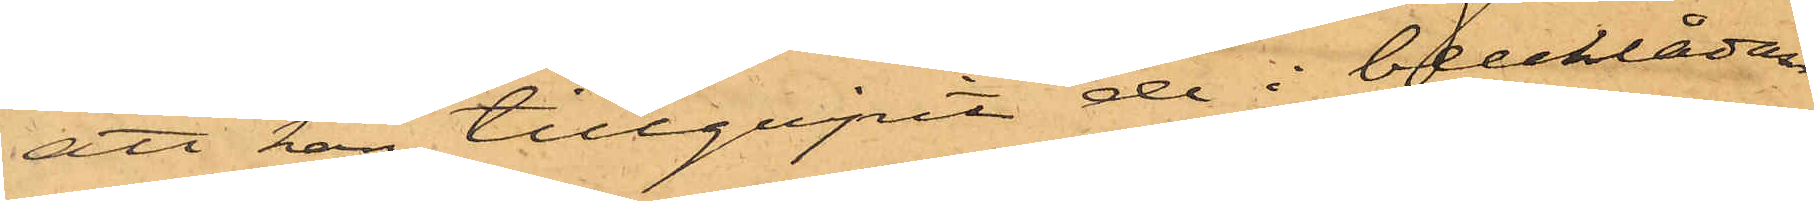att han tillgripit de i blecklådan
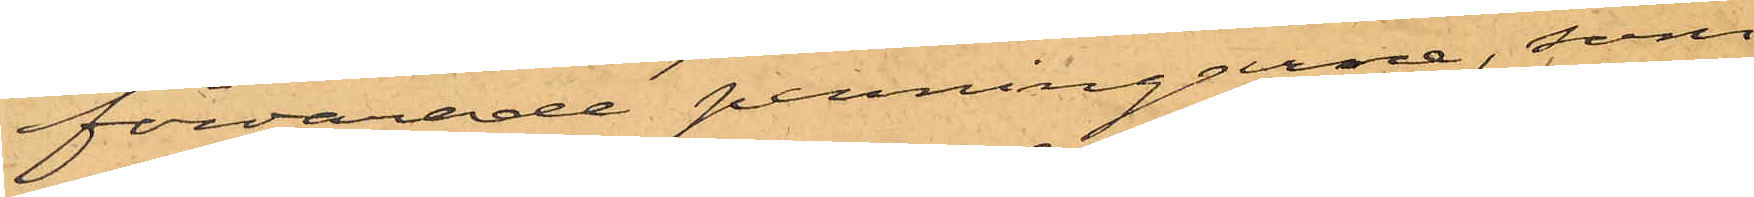förvarade penningarne, som
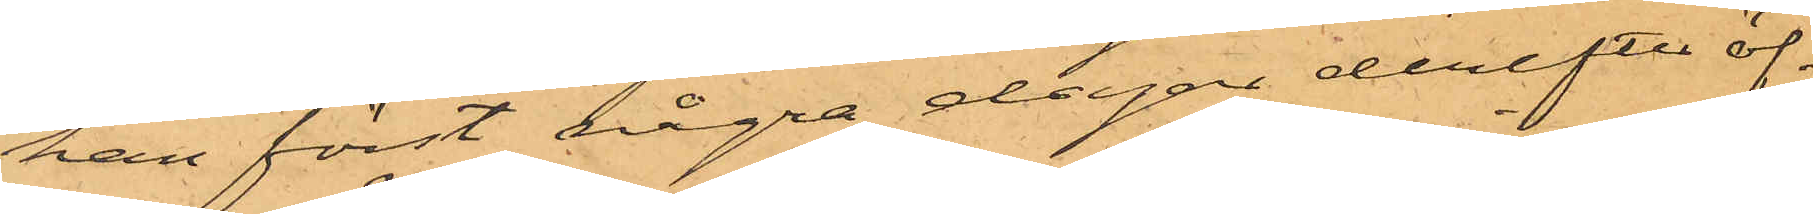han först några dagar derefter öf¬
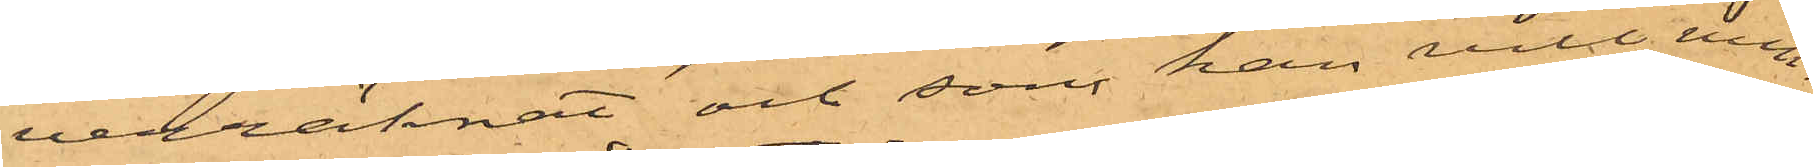verräknat och som han vill min¬
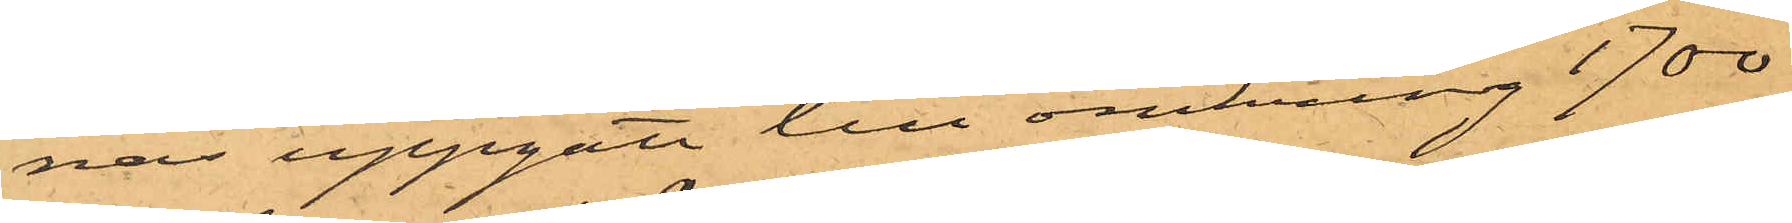nas uppgått till omkring 1700
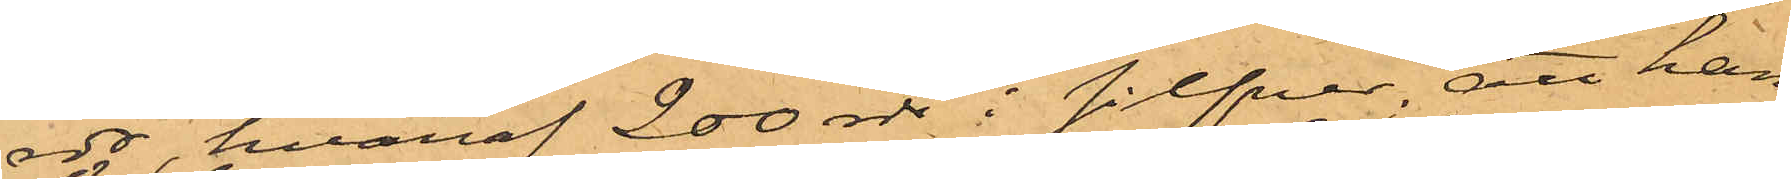rdr, hvaraf 200 rdr i silfver, att han
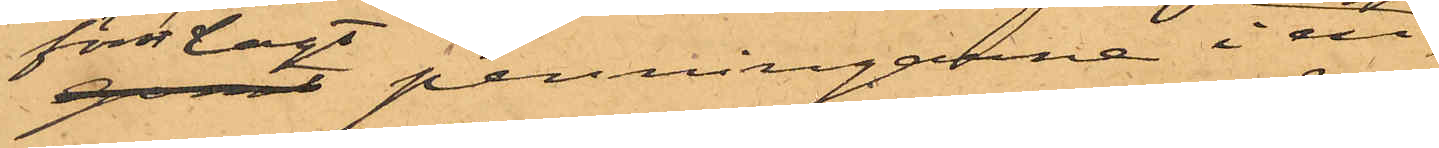först lagt penningarne i en
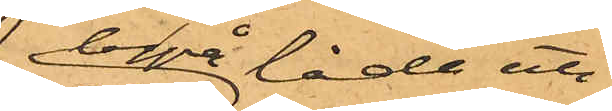byrå låda uti
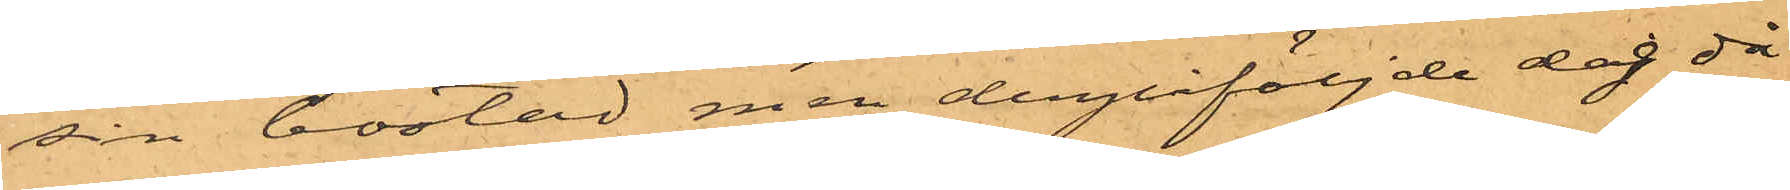sin bostad men derpåföljde dag då
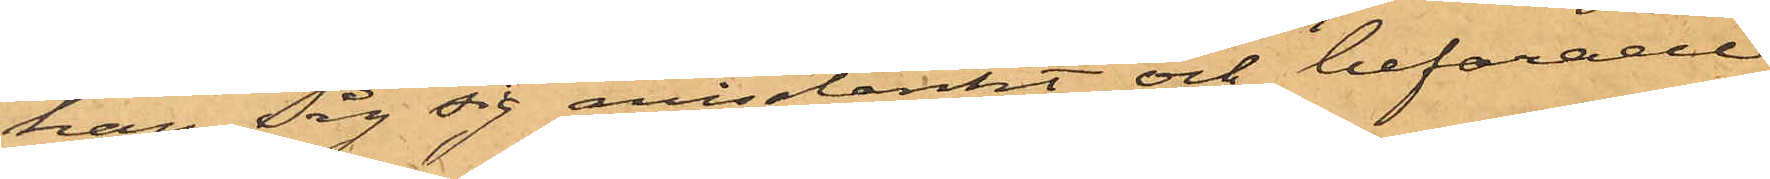han såg sig misstänkt och befarade
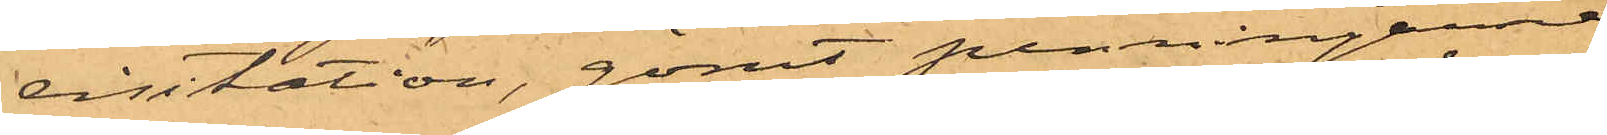visitation, gömt penningarne
